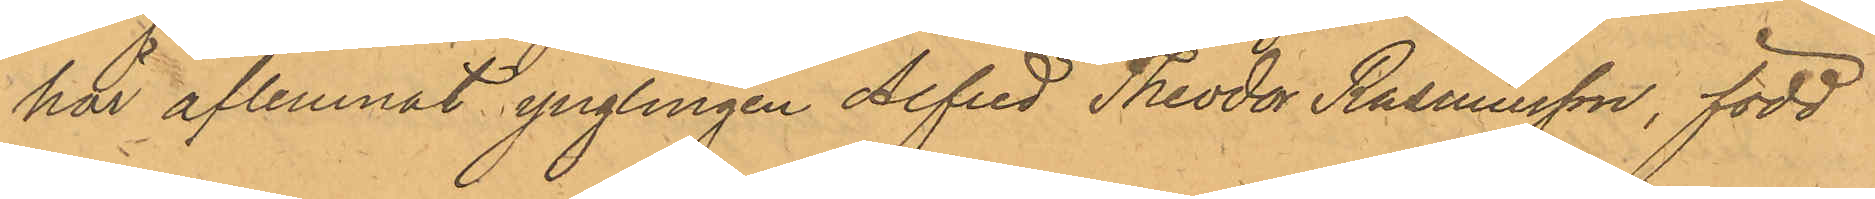här aflemnat ynglingen Alfred Theodor Rasmusson, född
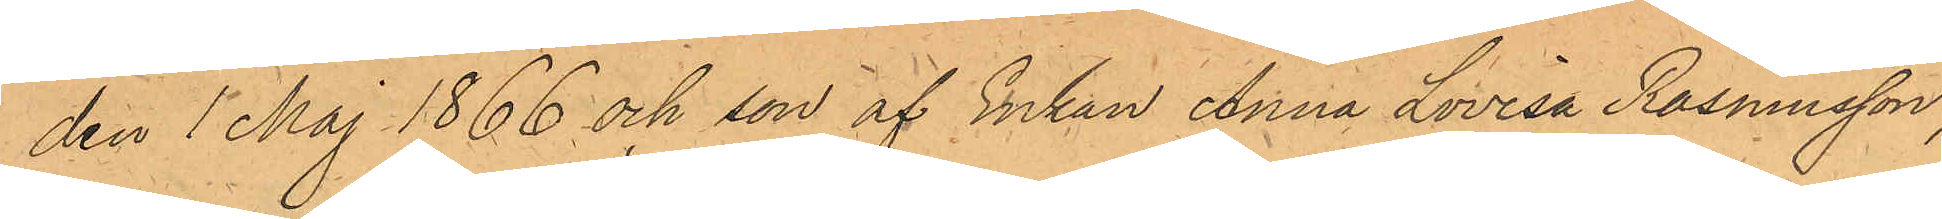den 1 Maj 1866 och son af Enkan Anna Lovisa Rasmusson,
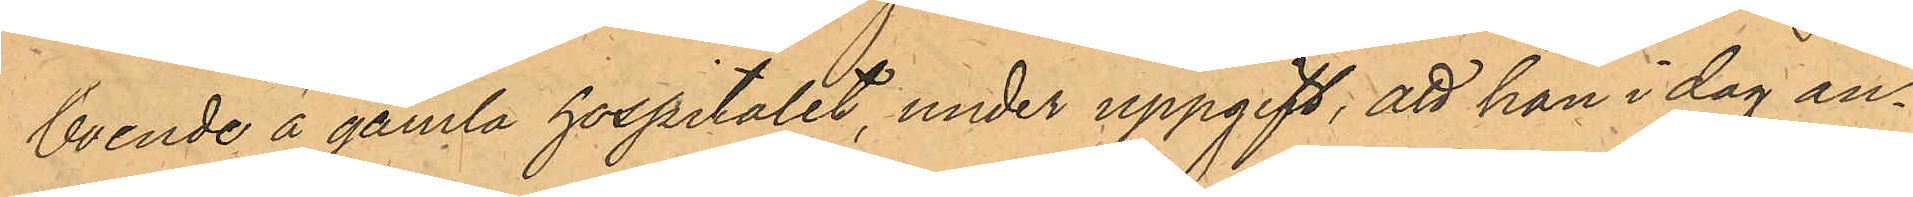boende å gamla hospitalet, under uppgift, att han i dag an¬
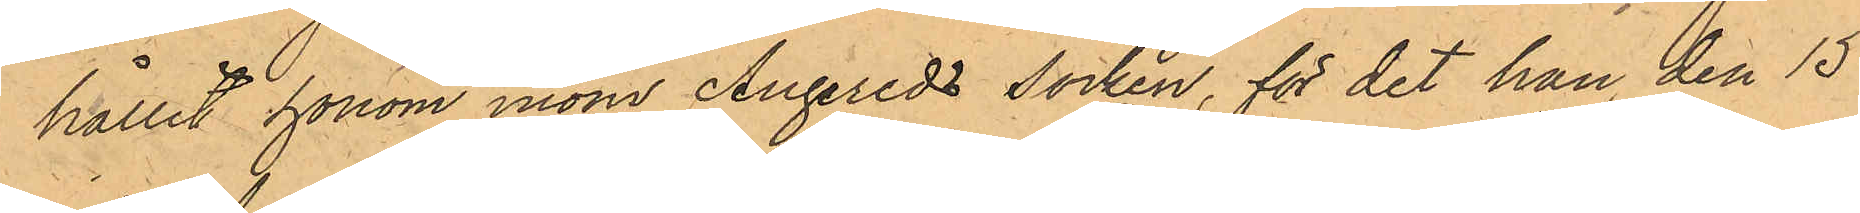hållit honom inom Angereds socken, för det han den 15
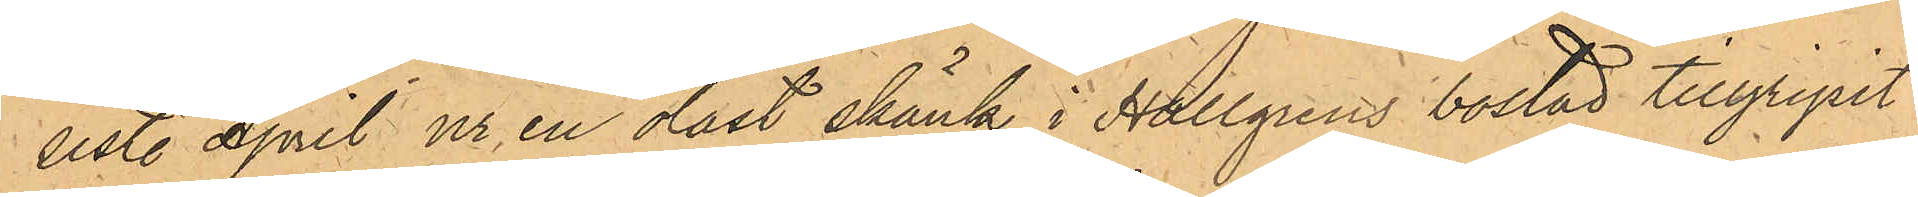sist. April ur en olåst skänk i Hallgrens bostad tillgripit
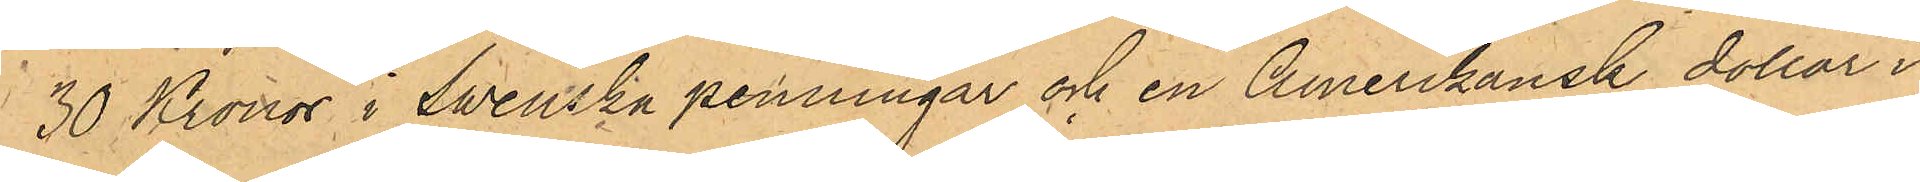30 Kronor i Swenska penningar och en Amerikansk dollar i
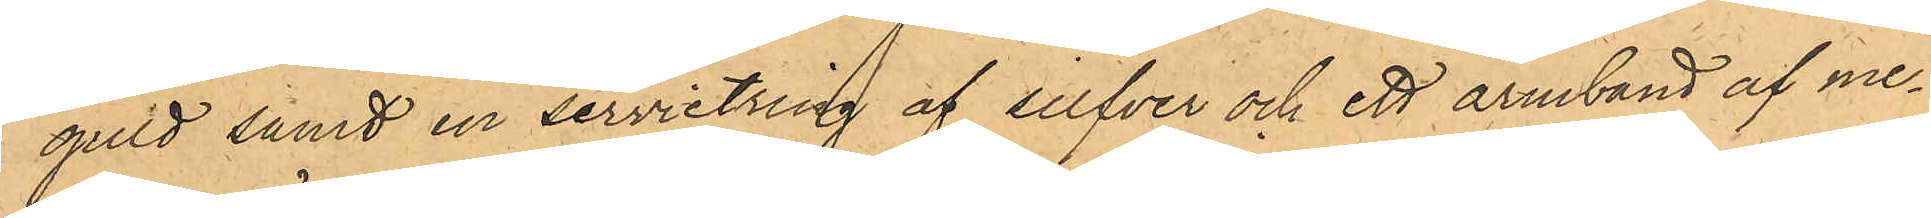guld samt en servietring af silfver och ett armband af me¬
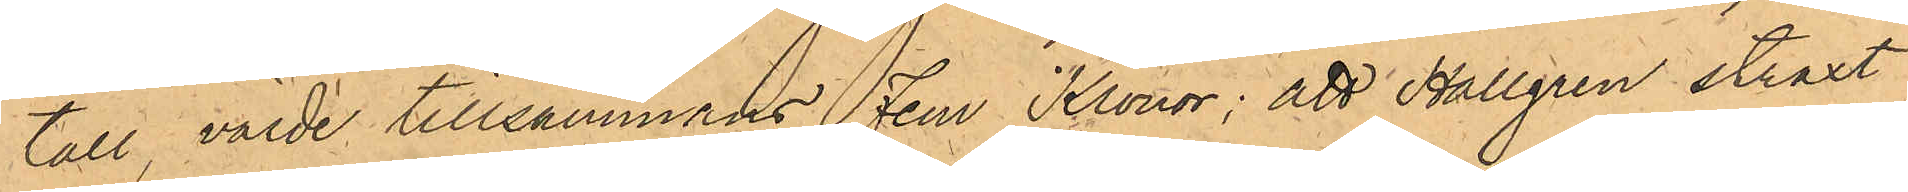tall, värde tillsammans Fem Kronor; att Hallgren straxt
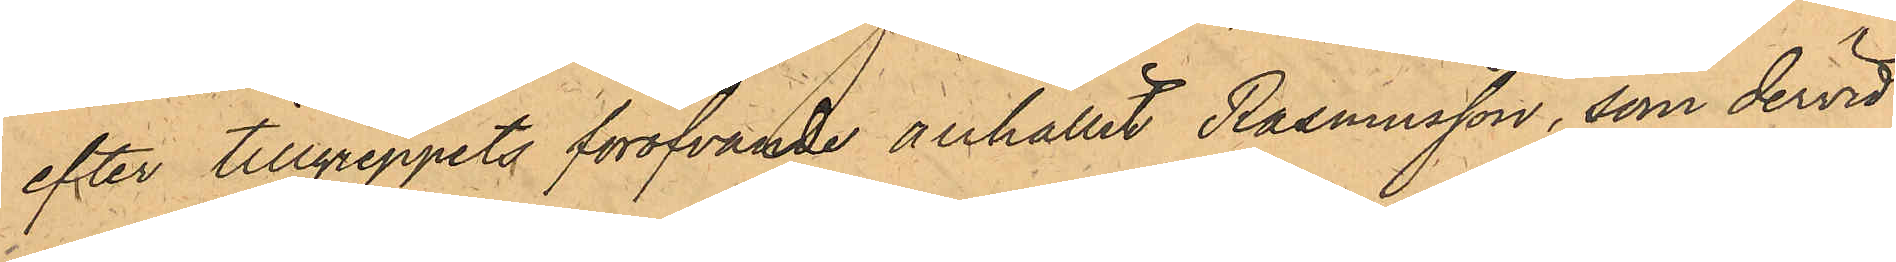efter tillgreppets föröfvande anhållit Rasmusson, som dervid
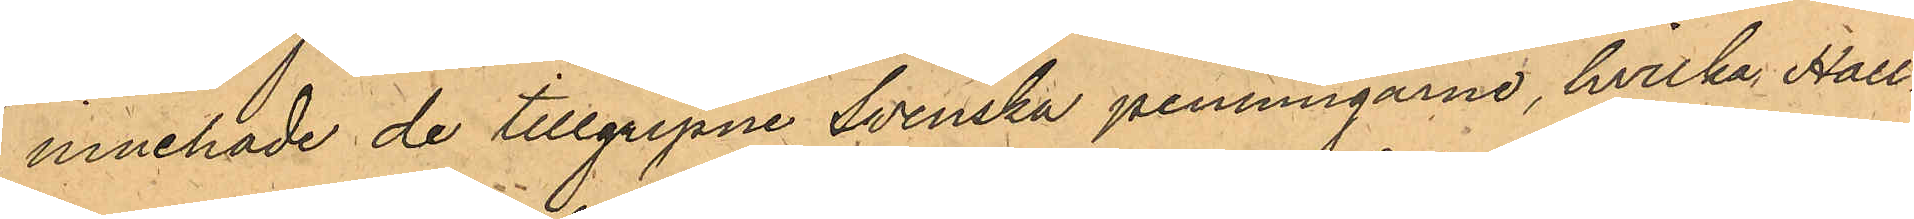innehade de tillgripne Svenska penningarne, hvilka Hall¬
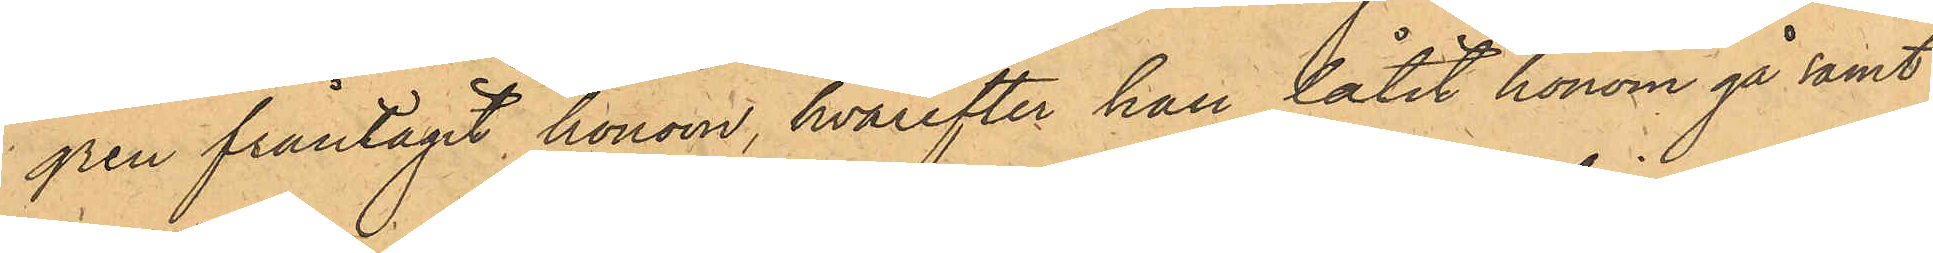gren fråntagit honom, hvarefter han låtit honom gå samt
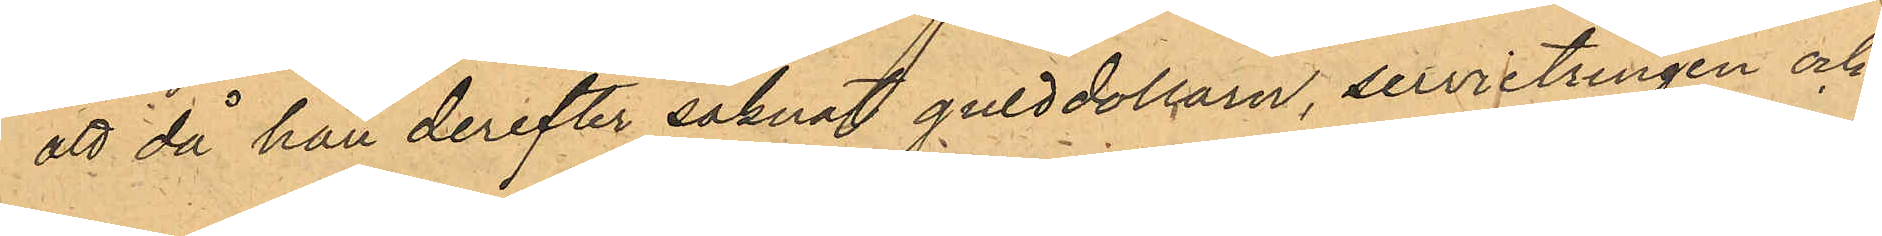att då han derefter saknat gulddollarn, servietringen och
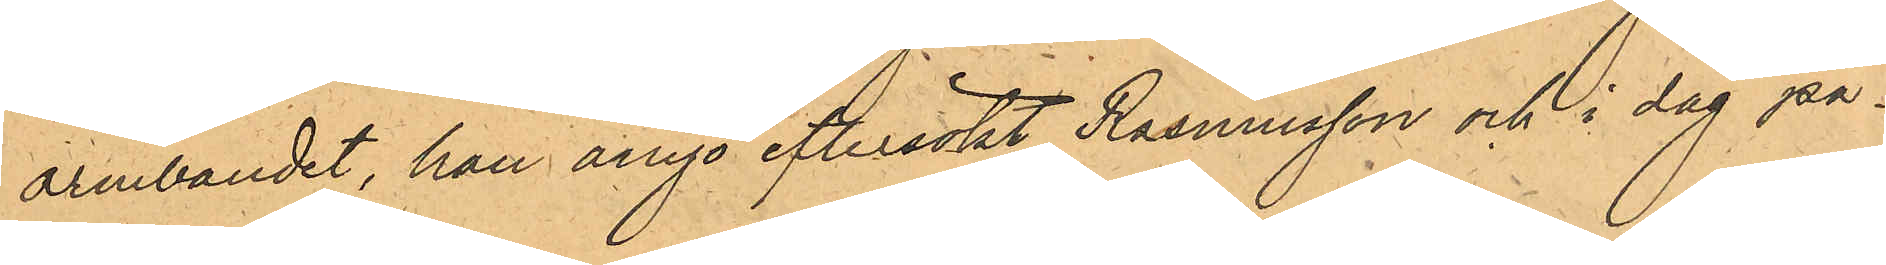armbandet, han ånyo eftersökt Rasmusson och i dag på¬
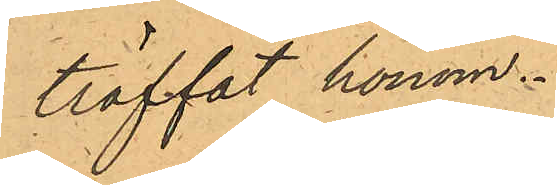träffat honom.
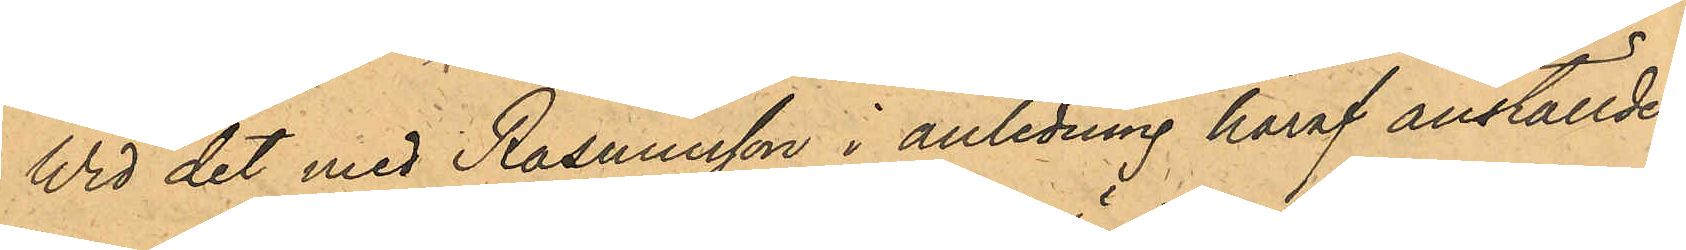Wid det med Rasmusson i anledning häraf anställde
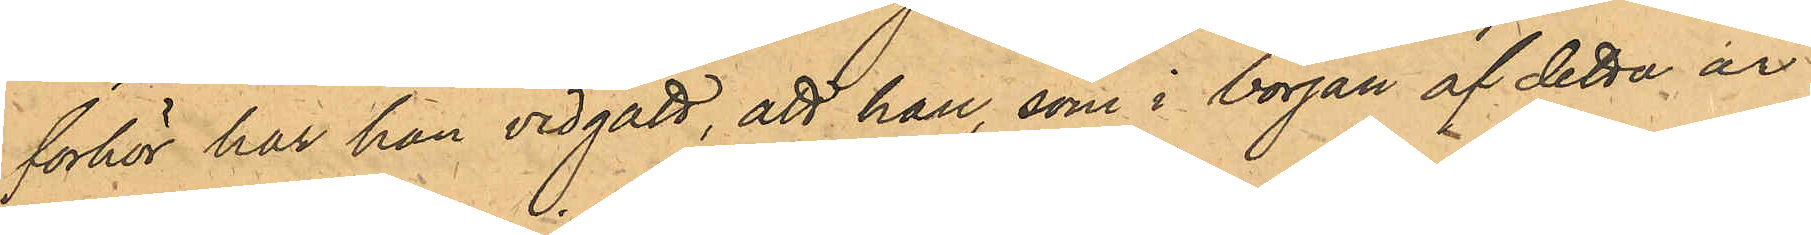förhör har han vidgått, att han, som i början af detta år
